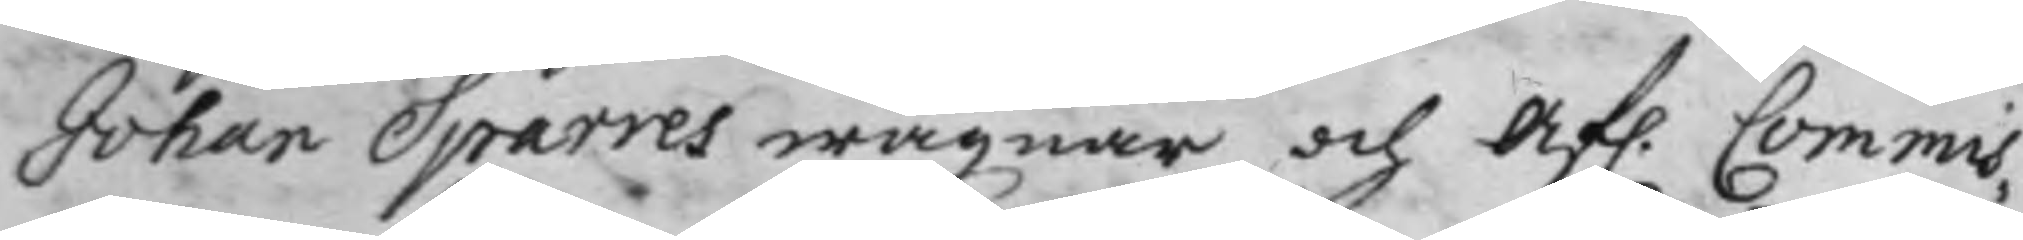Johan Sparres wägnar, och Afl. Commis¬
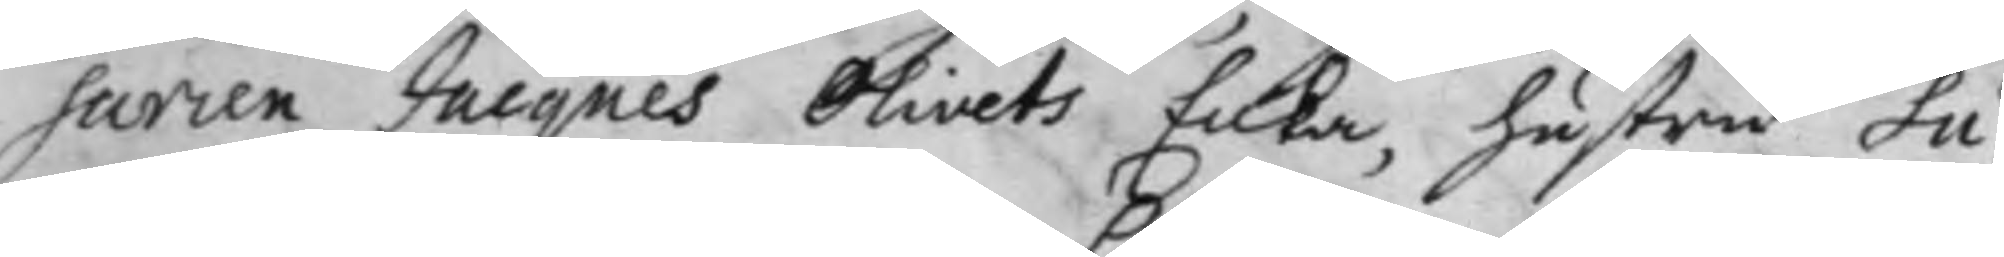sarien Jacques Olivets Enka, hustru Su¬
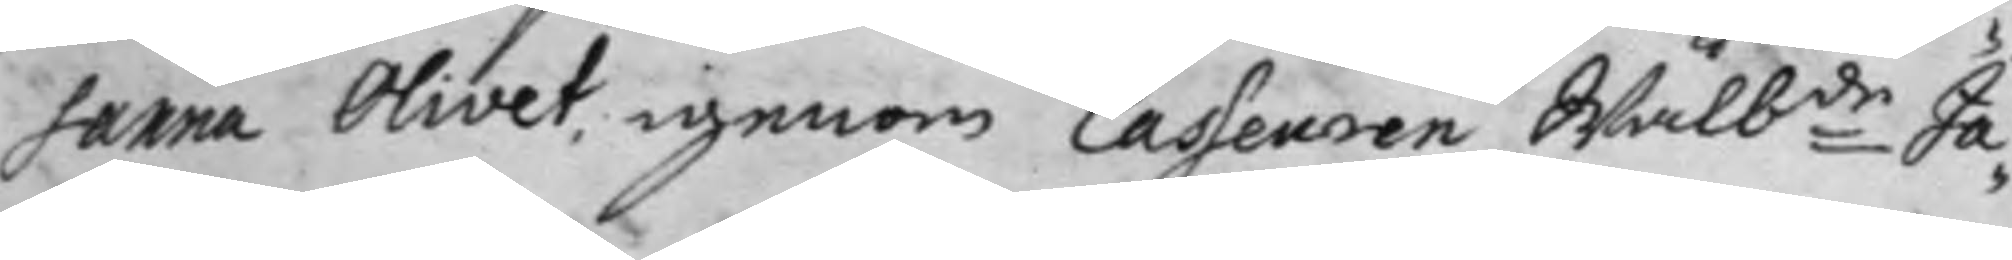sanna Olivet, igenom Casseuren Wälbde Ja¬
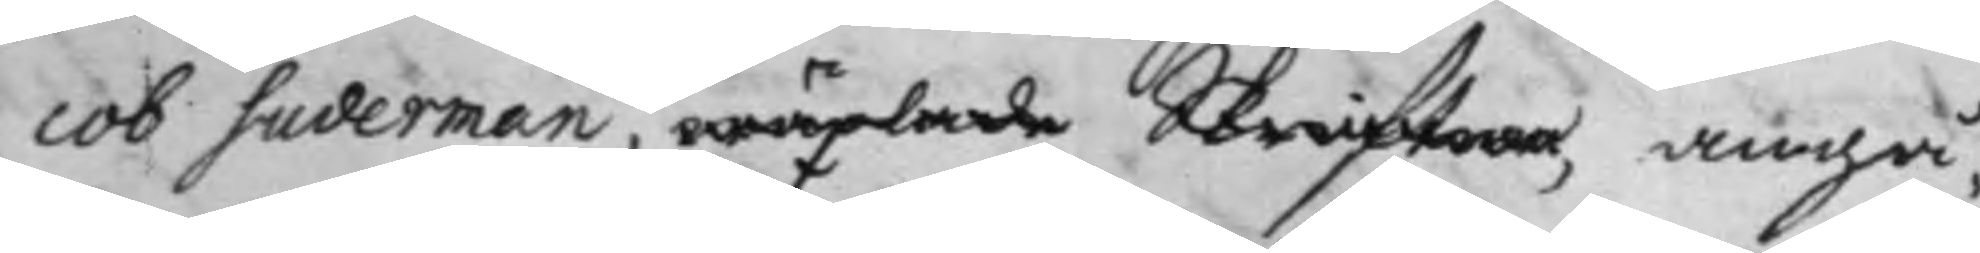cob Suderman, wäxlade Skrifter, angå¬
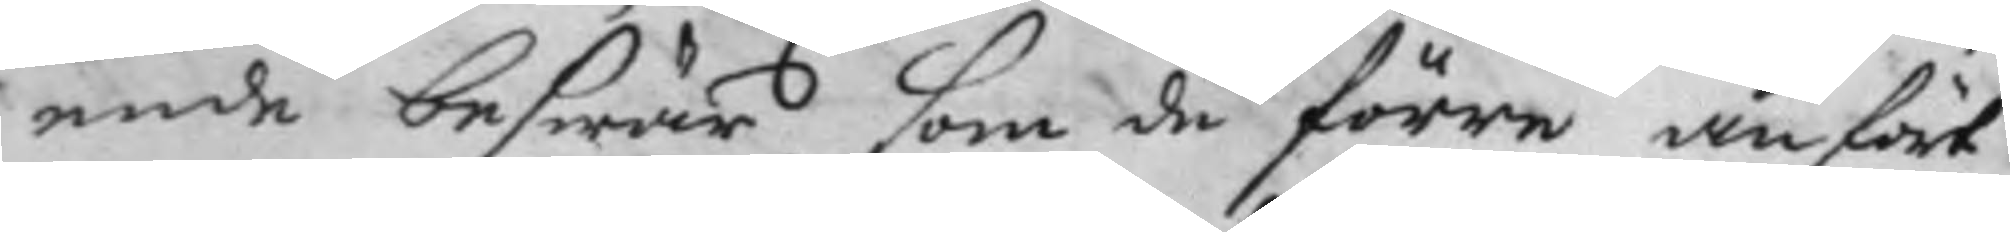ende beswär som de förre anfört
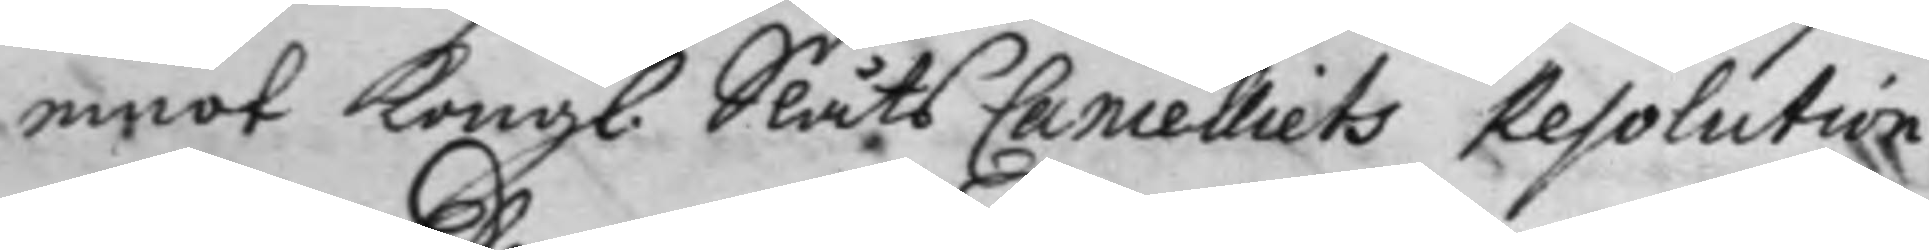emot Kongl. Slåts Cancelliets Resolution
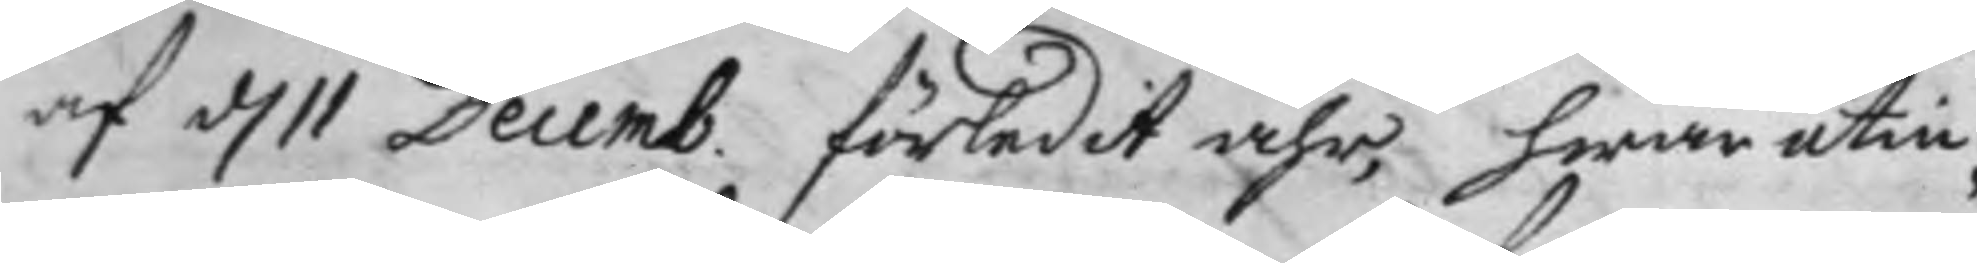af d. 11 Decemb. förledit åhr, hwar utin¬
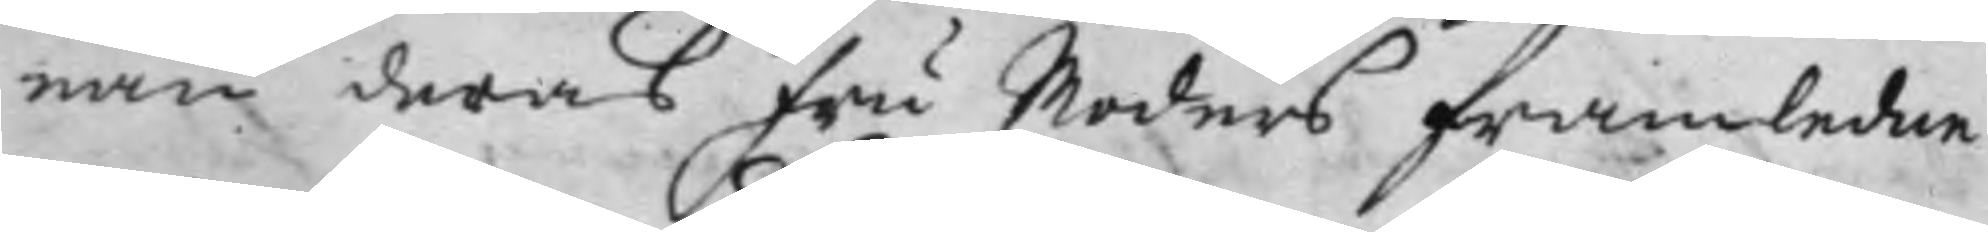nan deras fru Moders framledne
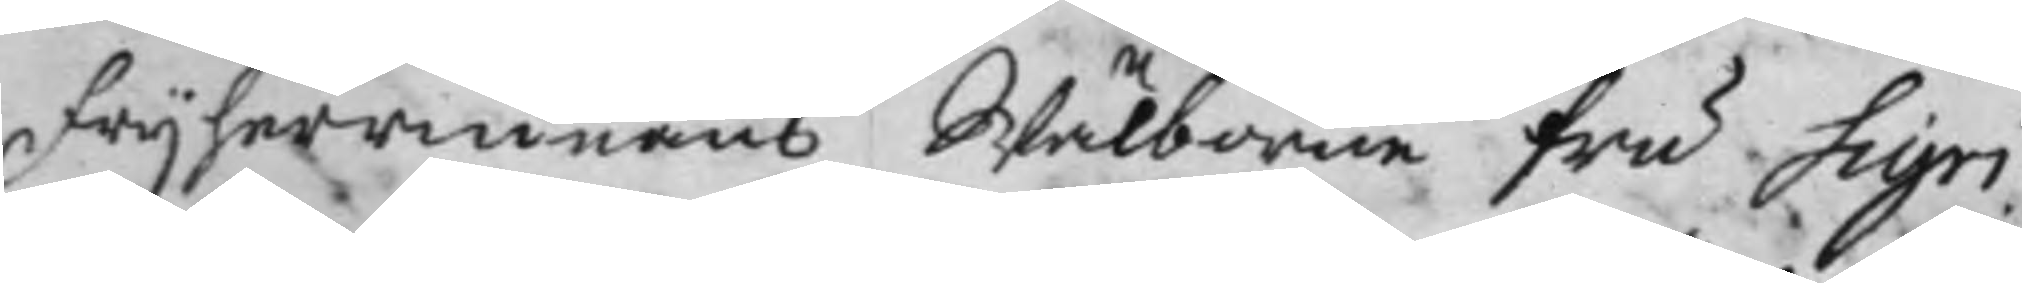frijherrinnans Wälborne fru Sigri
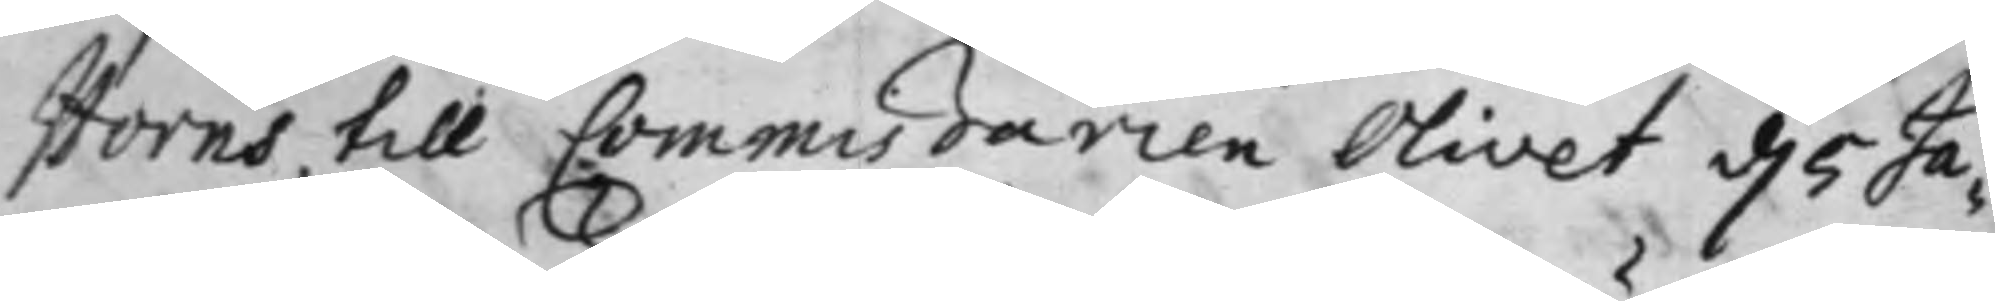Horns, till Commißarien Olivet d. 5 Ja¬
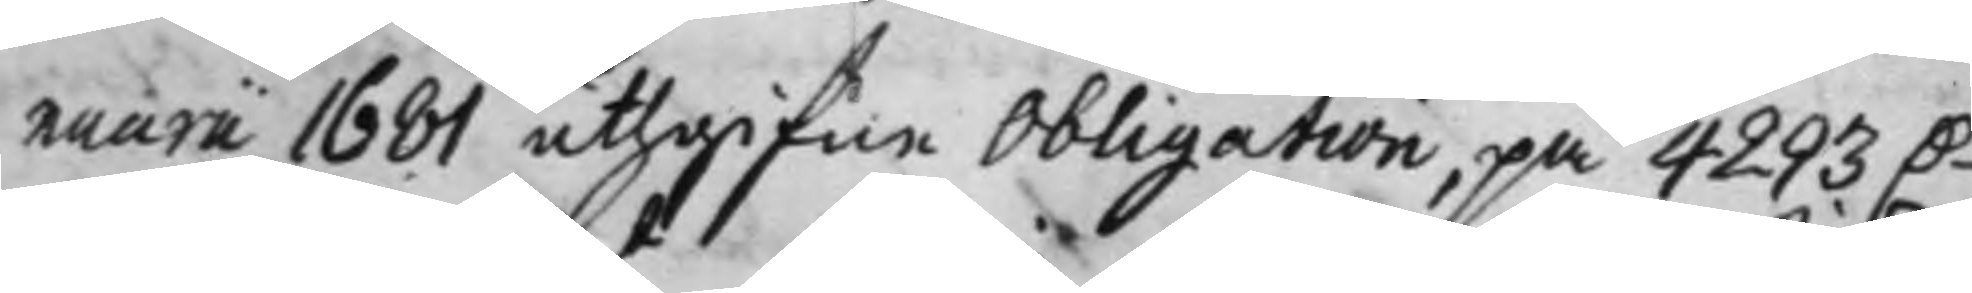nuarii 1681 uthgifen Obligation, på 4293 D.
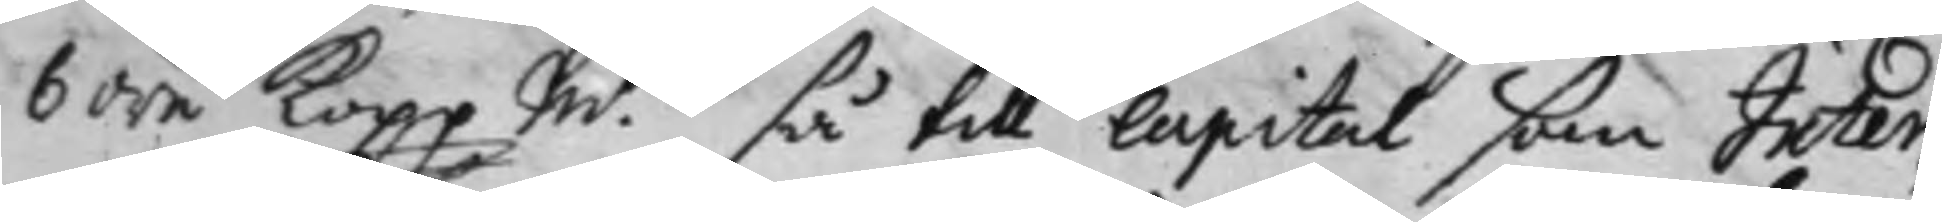6 öre Kopp Mt så till capital som Inter¬
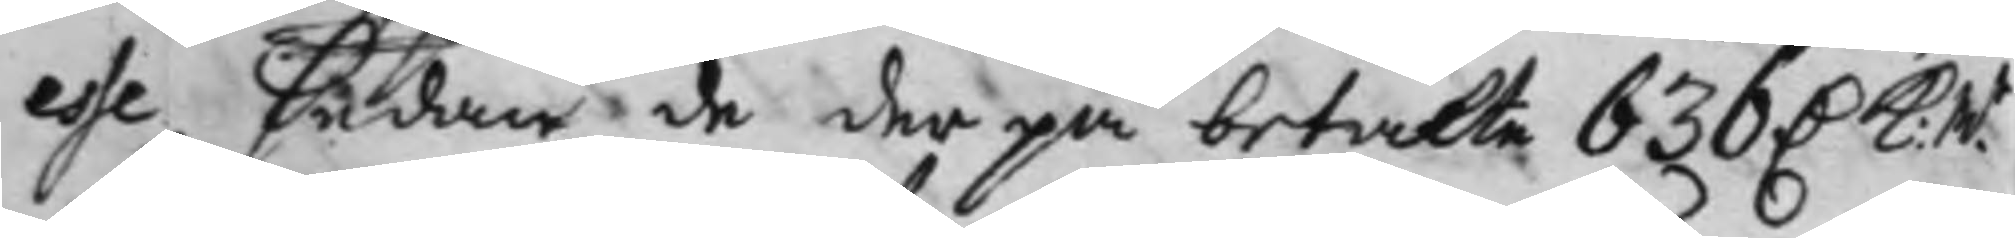esse, sedan de der på betalte 636 D. K: Mt
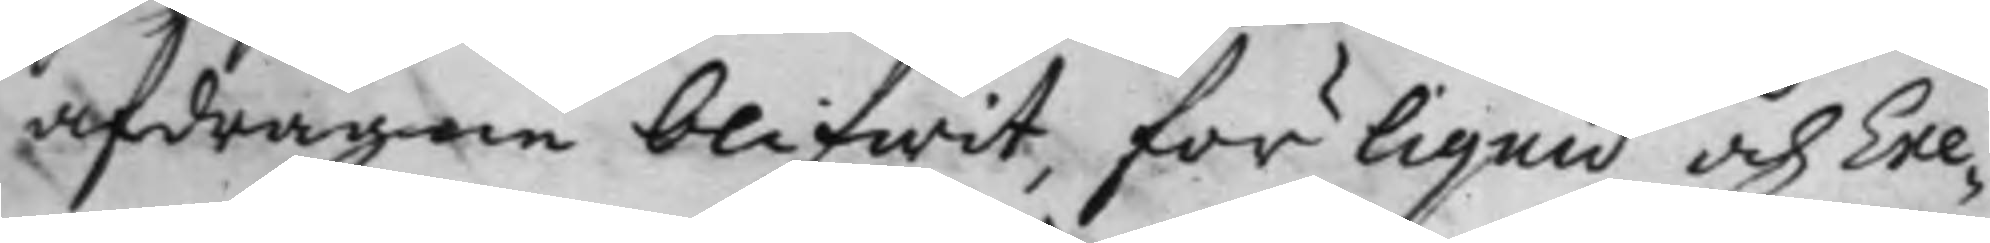afdragen blifwit, för liquid och Exe¬
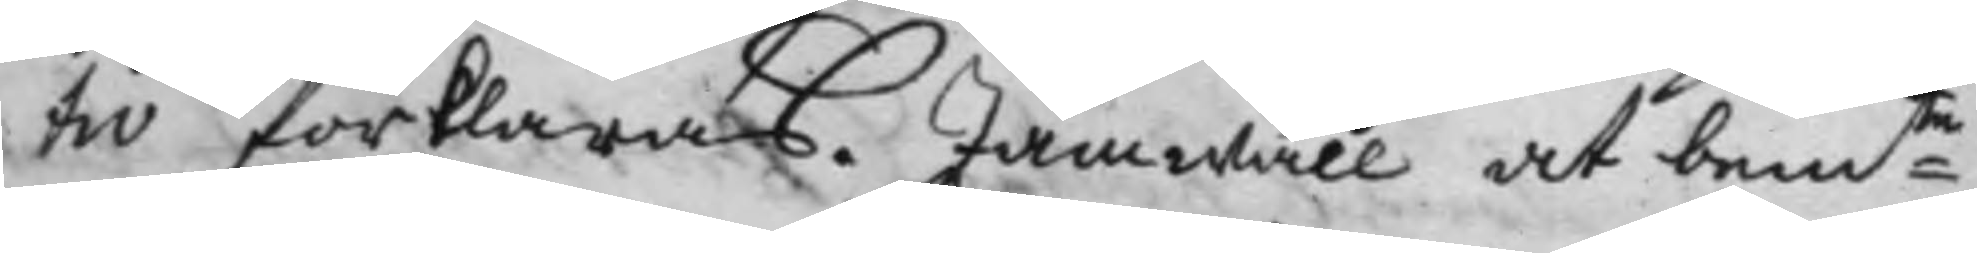tiv förklaras. Jämwäll at bemte
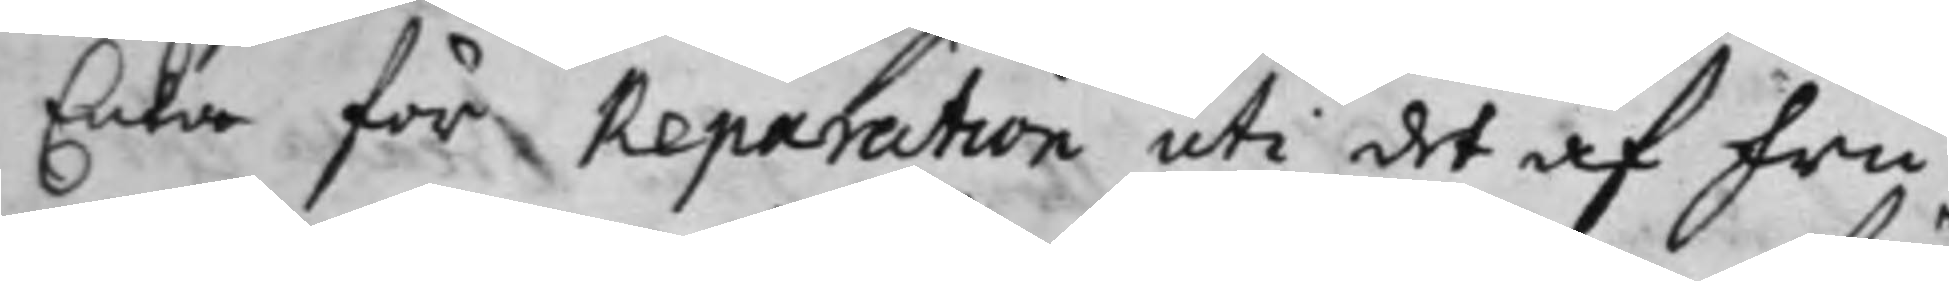Enka för Reparation uti det af fru
